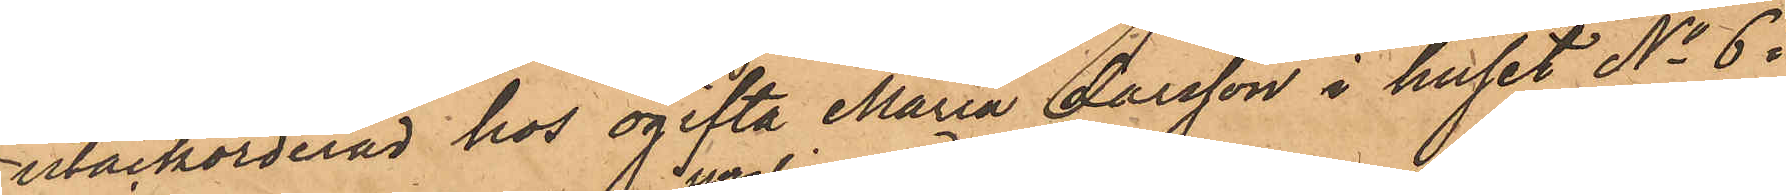utackorderad hos ogifta Maria Larsson i huset No 6.
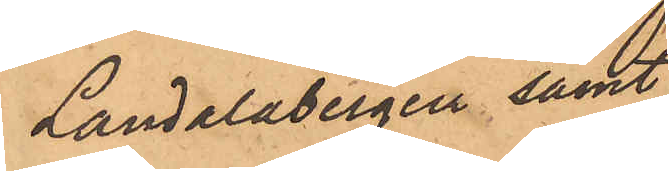Landalabergen samt
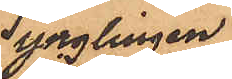ynglingen.
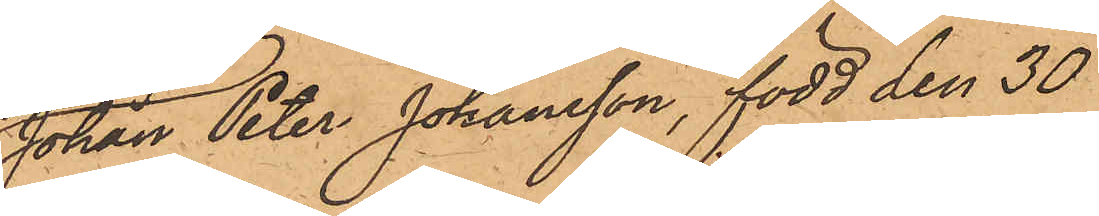Johan Peter Johansson, född den 30
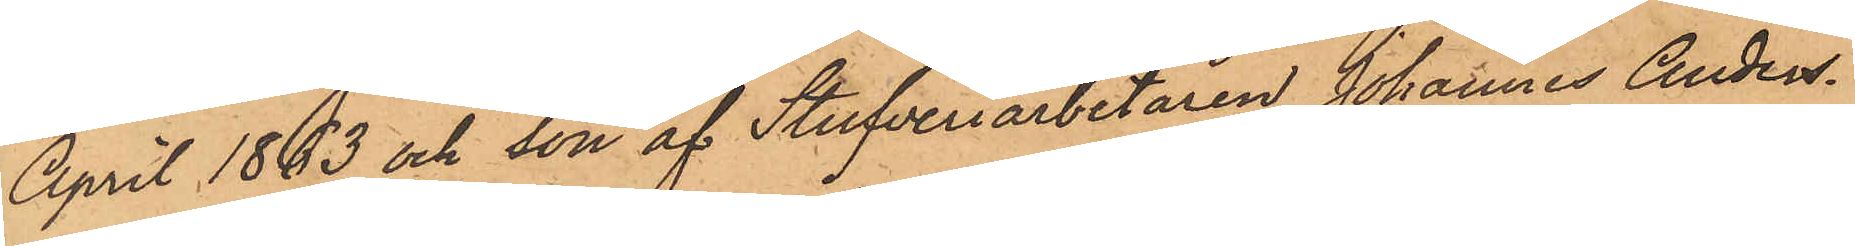April 1863 och son af Stufveriarbetaren Johannes Anders¬
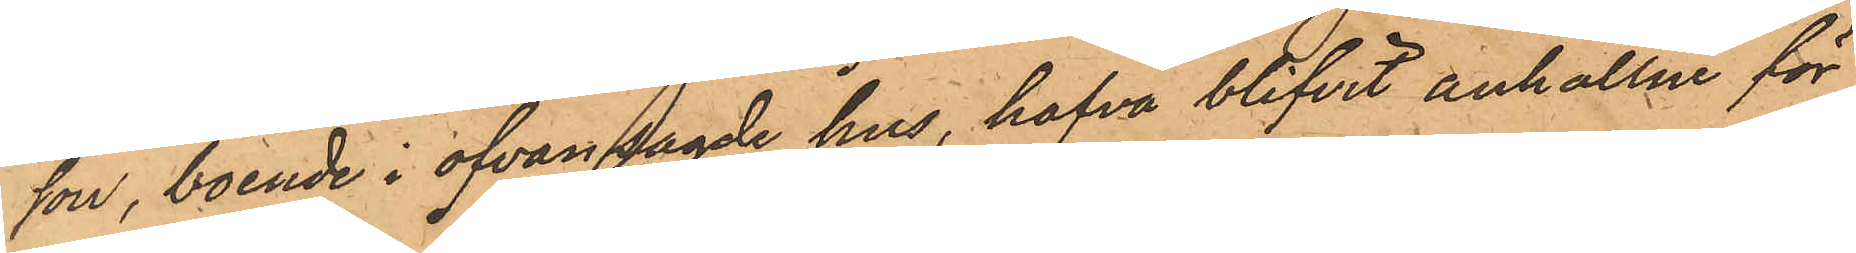son, boende i ofvan sagde hus, hafva blifvit anhållne för
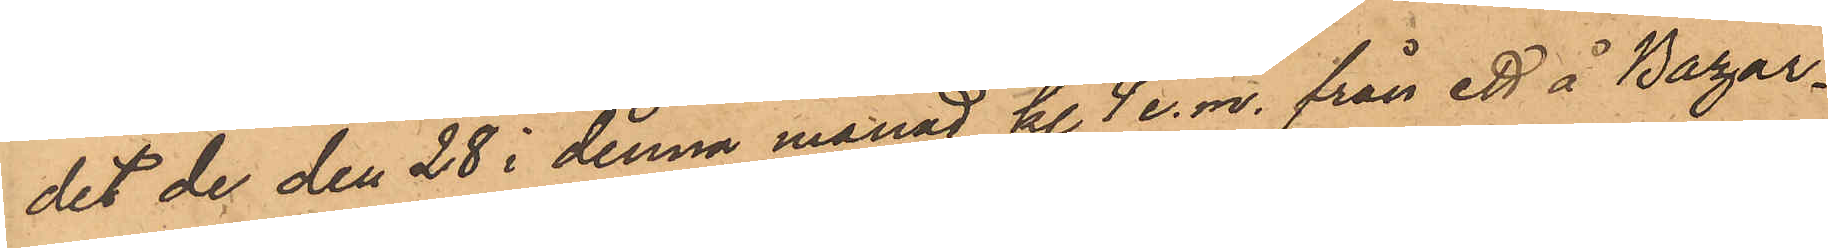det de den 28 i denna månad kl. 4 e. m. från ett å Bazar¬
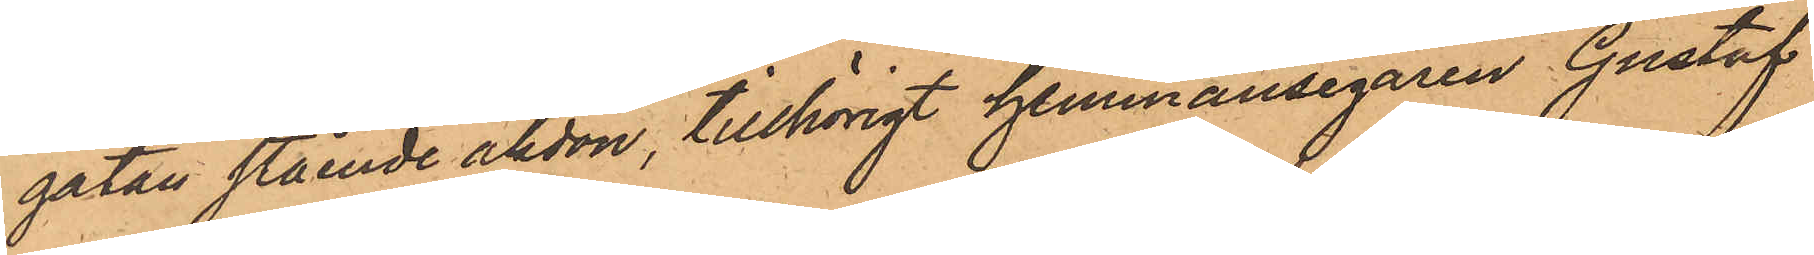gatan stående åkdon, tillhörigt hemmansegaren Gustaf
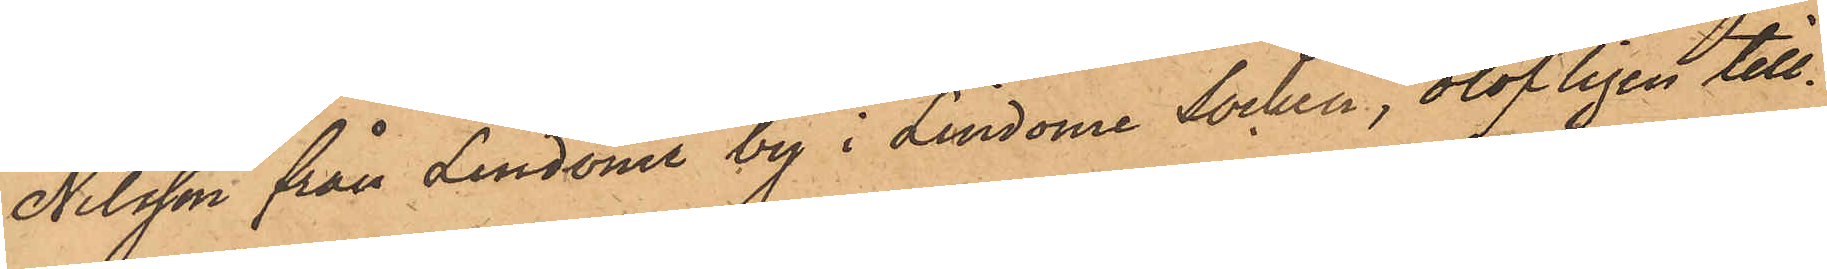Nilsson från Lindome by i Lindome Socken, olofligen till¬
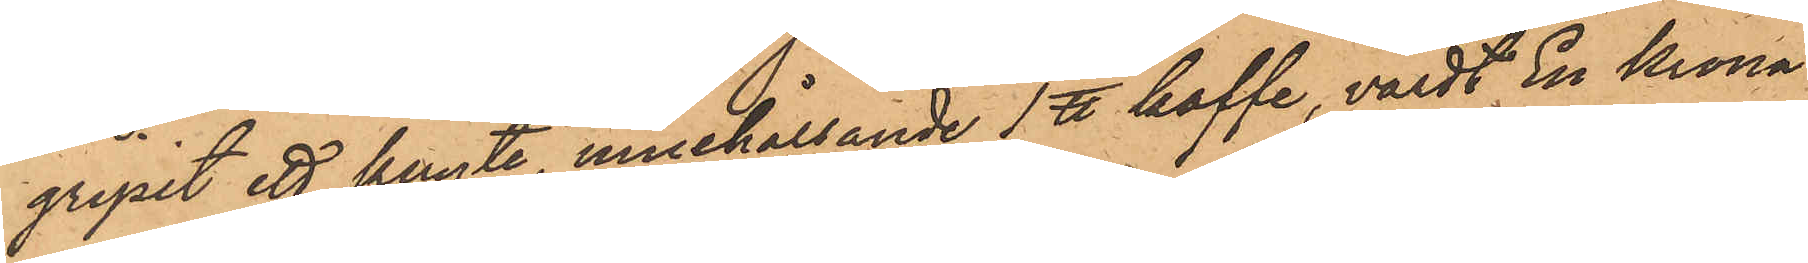gripit ett knyte, innehållande 1 ℔ kaffe, värdt En Krona
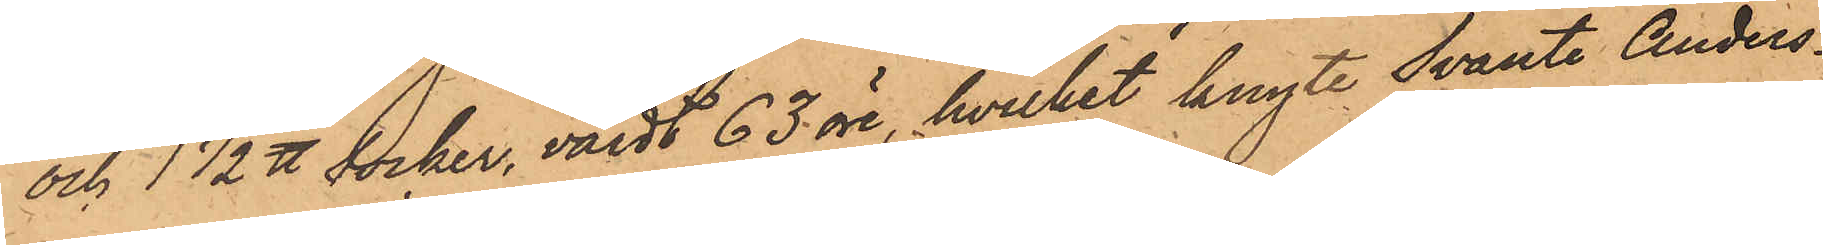och 1 1/2 ℔ socker, värdt 63 öre, hvilket knyte Svante Anders¬
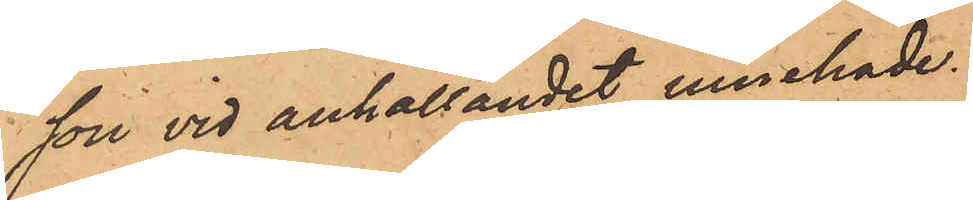son vid anhållandet innehade.
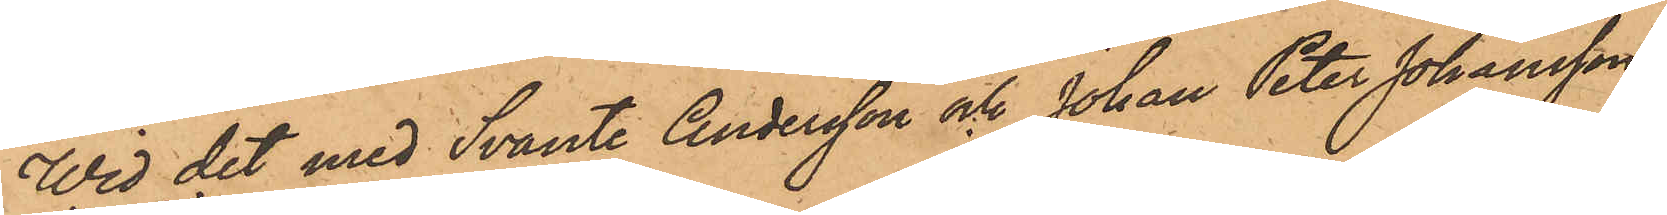Wid det med Svante Andersson och Johan Peter Johansson
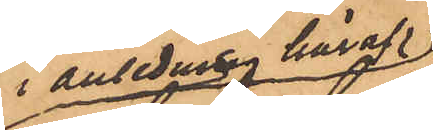i anledning häraf
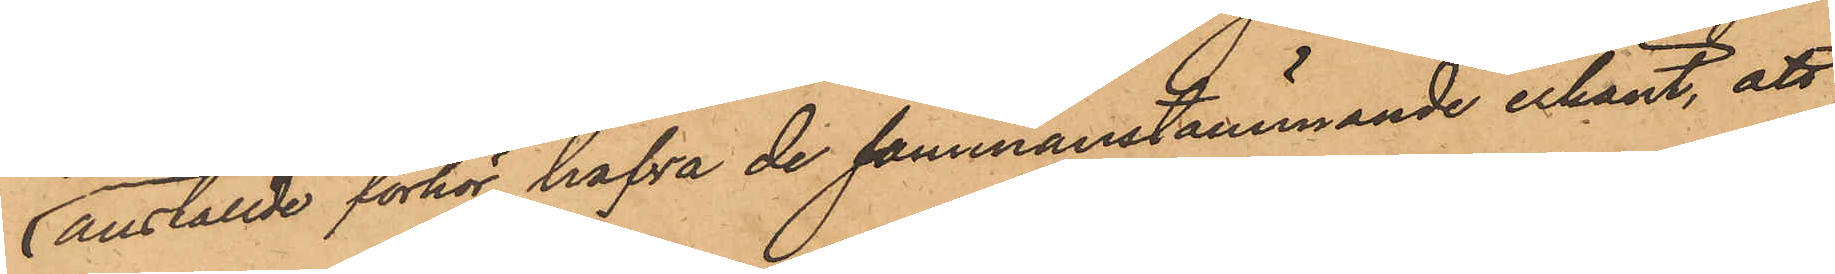anställde förhör hafva de sammanstämmande erkänt, att
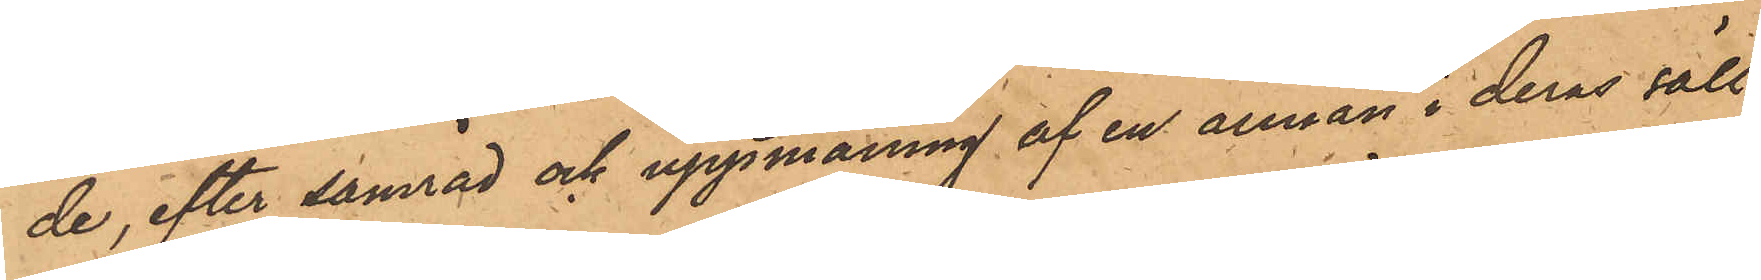de, efter samråd och uppmaning af en annan i deras säll¬
